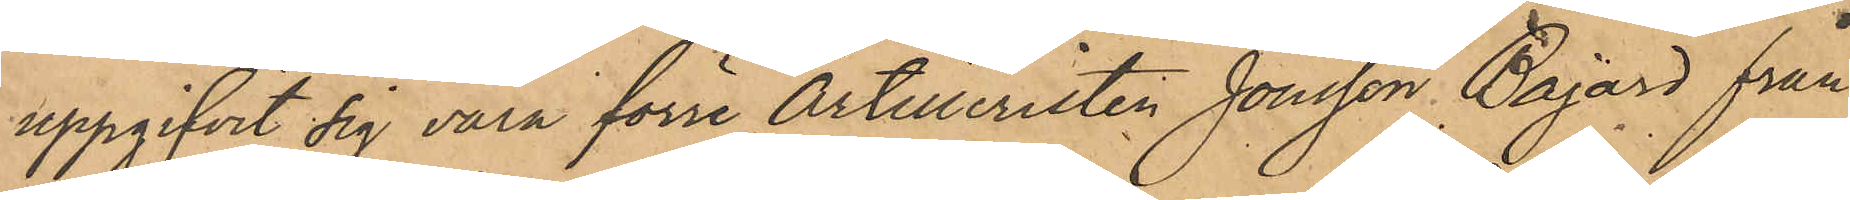uppgifvit sig vara förre Artilleristen Jonsson Bajard från
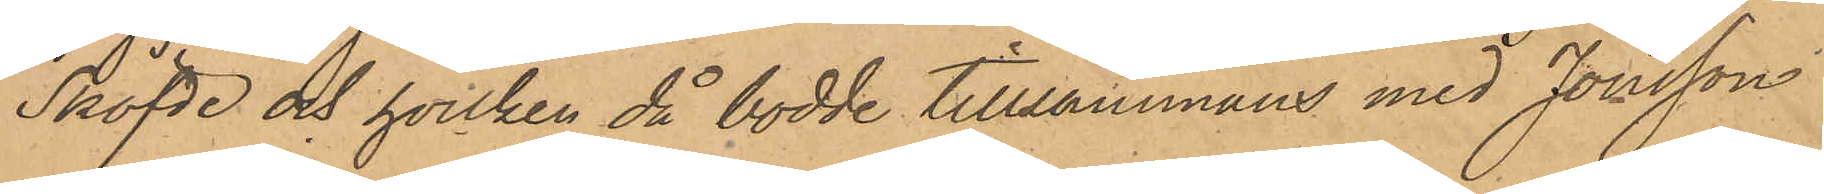Sköfde och hvilken då bodde tillsammans med Jonsson
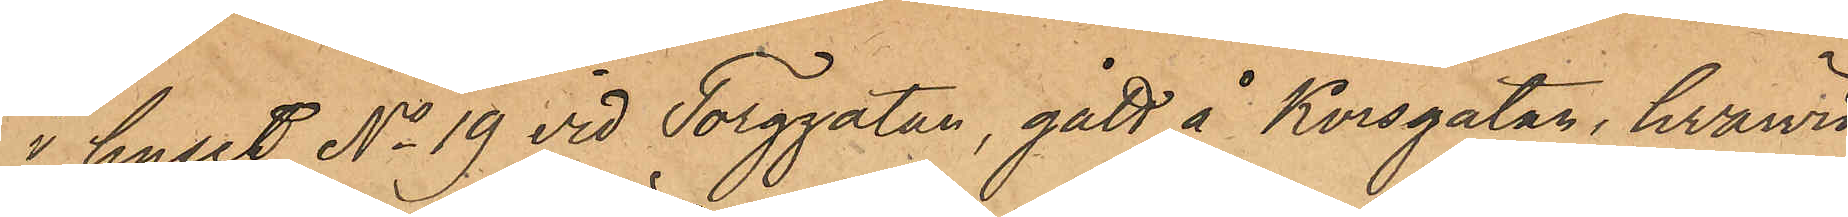i huset No 19 vid Torggatan, gått å Korsgatan, hwarvid
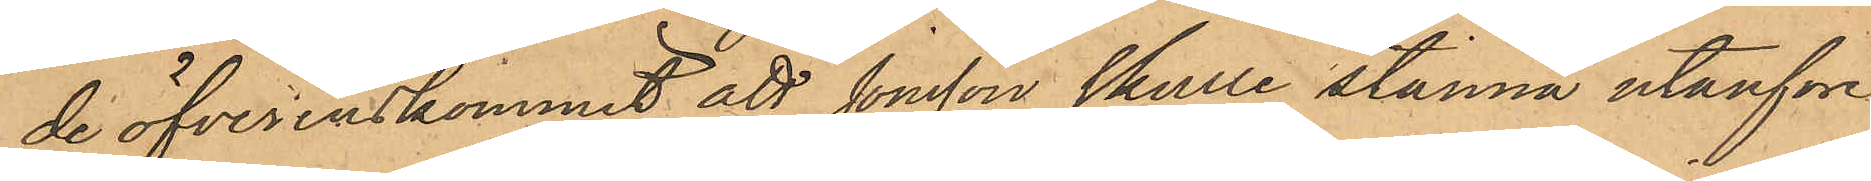de öfverenskommit, att Jonsson skulle stanna utanföre
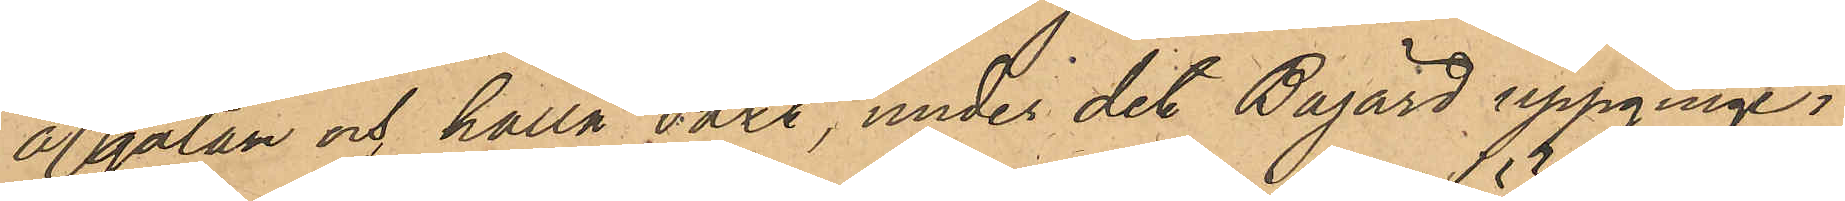å gatan och hålla vakt, under det Bajard uppginge i
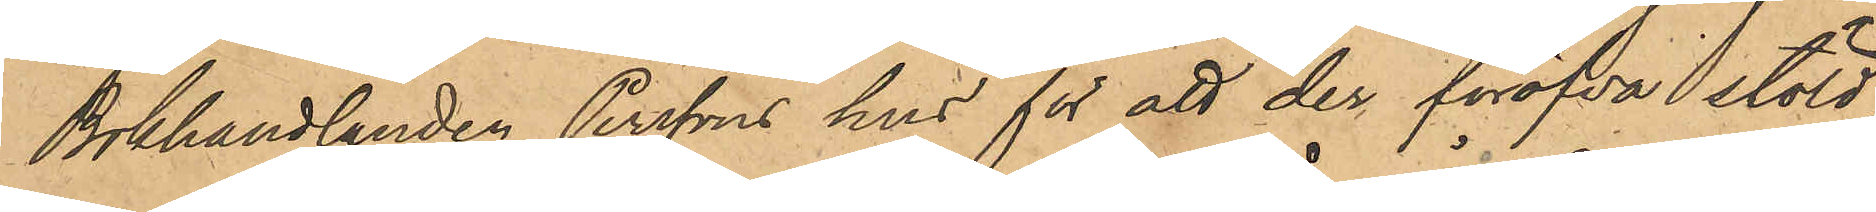Bokhandlanden Perssons hus för att der föröfva stöld;
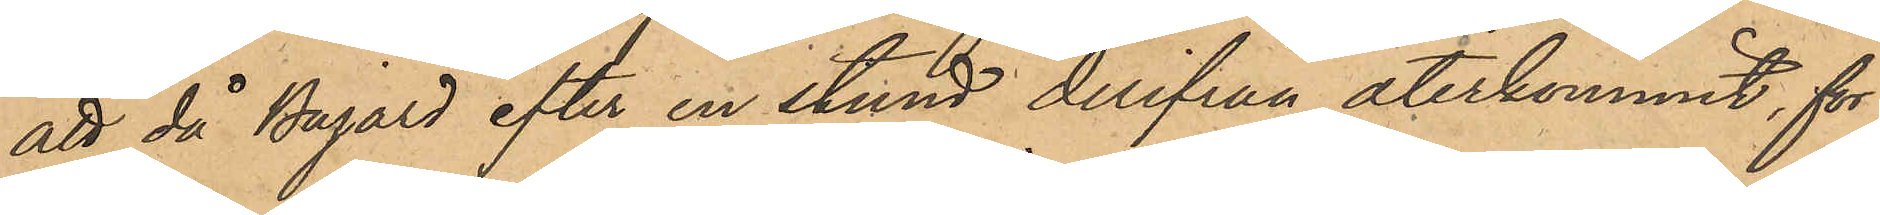att då Bajard efter en stund derifrån återkommit, för¬
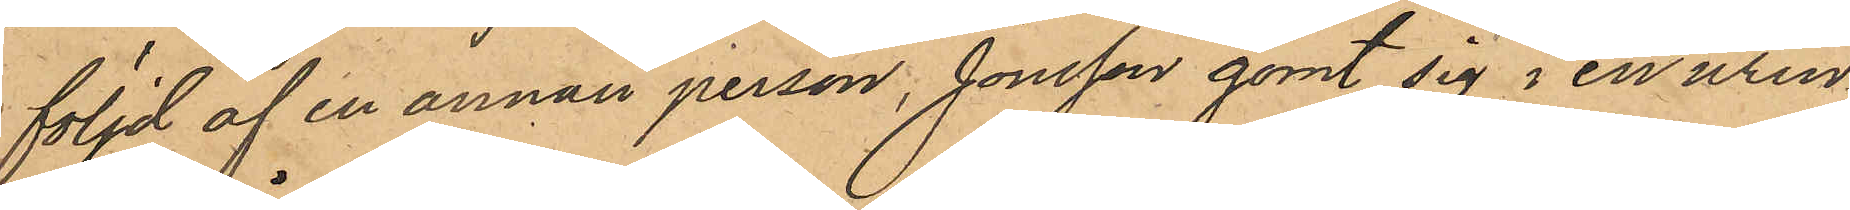följd af en annan person, Jonsson gömt sig i en urin¬
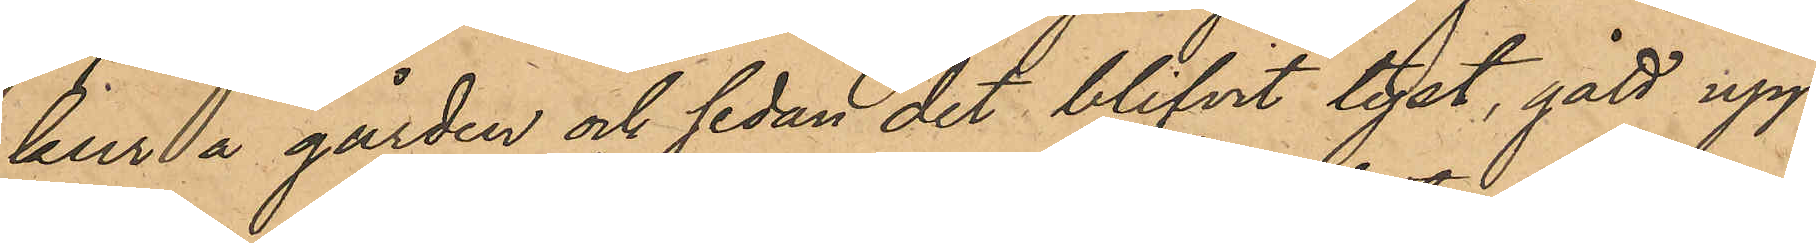kur å gården och sedan det blifvit tyst, gått upp
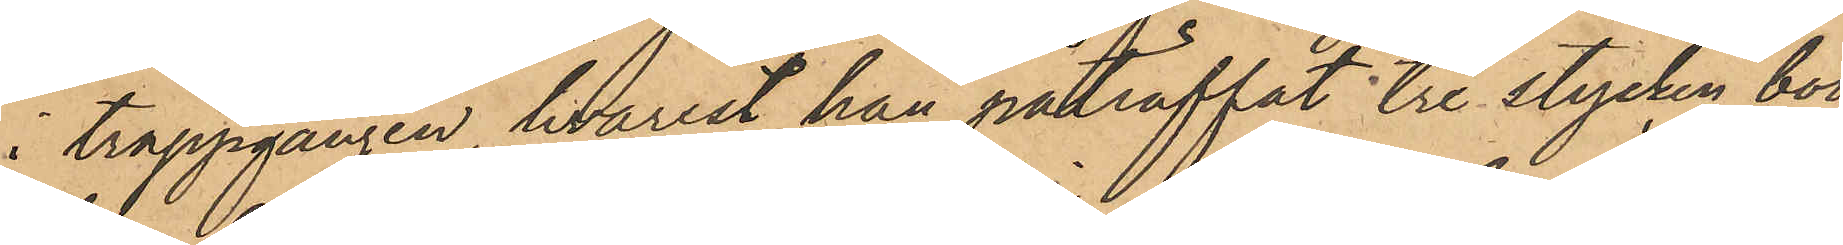i trappgången, hvarest han påträffat tre stycken böc¬
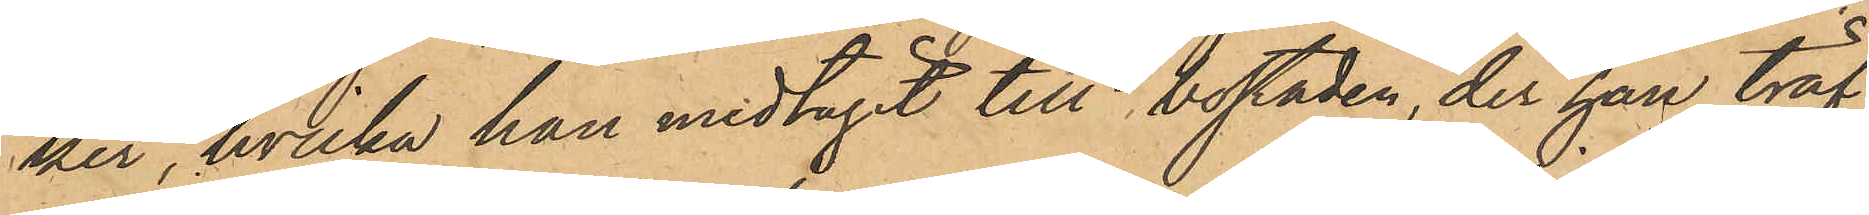ker, hvilka han medtagit till bostaden, der han träf¬
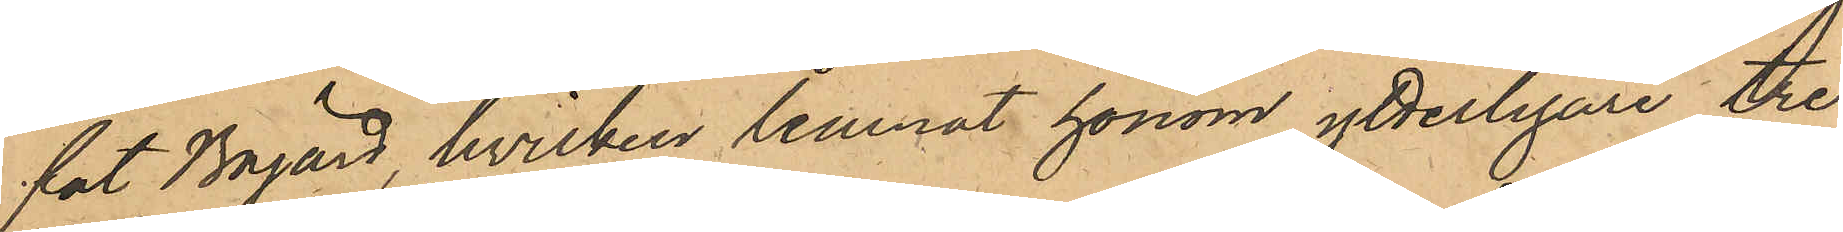fat Bajard, hvilken lemnat honom ytterligare tre
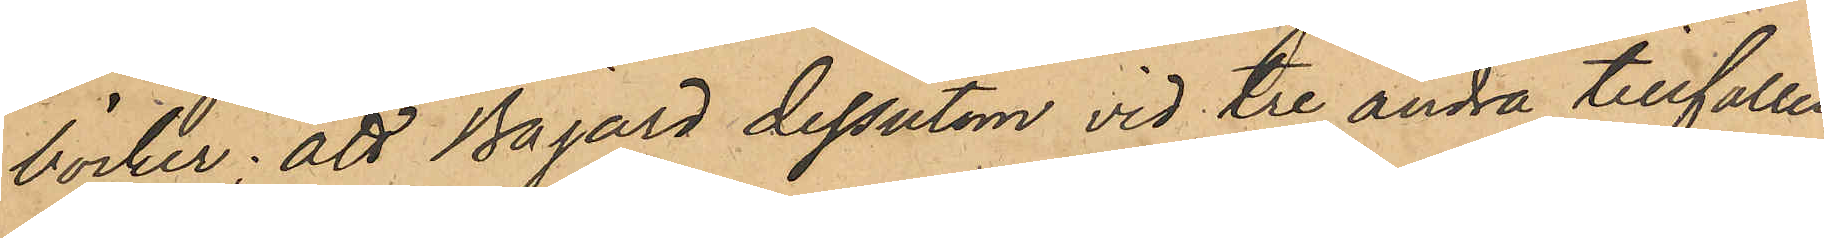böcker; att Bajard dessutom vid tre andra tillfällen
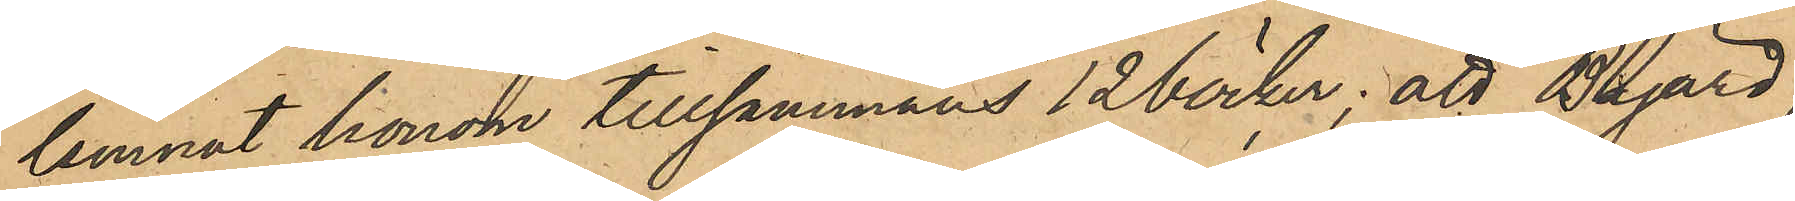lemnat honom tillsammans 12 böcker; att Bajard,
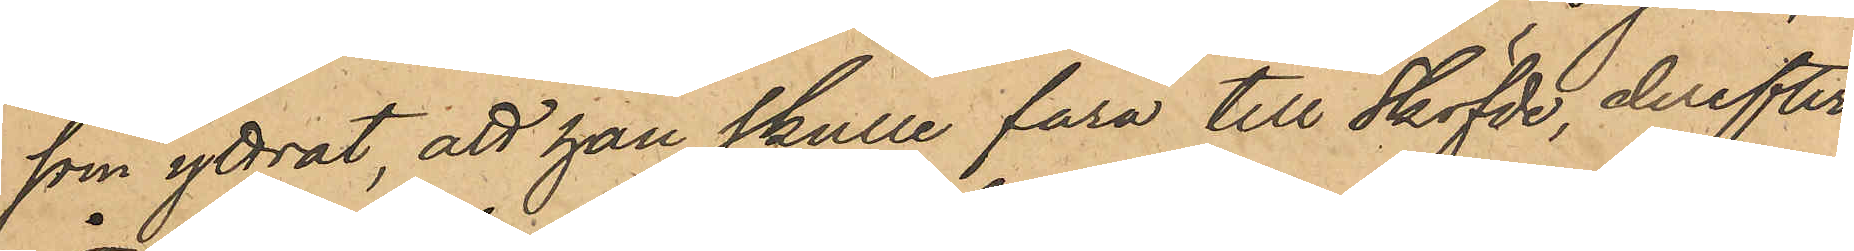som yttrat, att han skulle fara till Sköfde, derefter
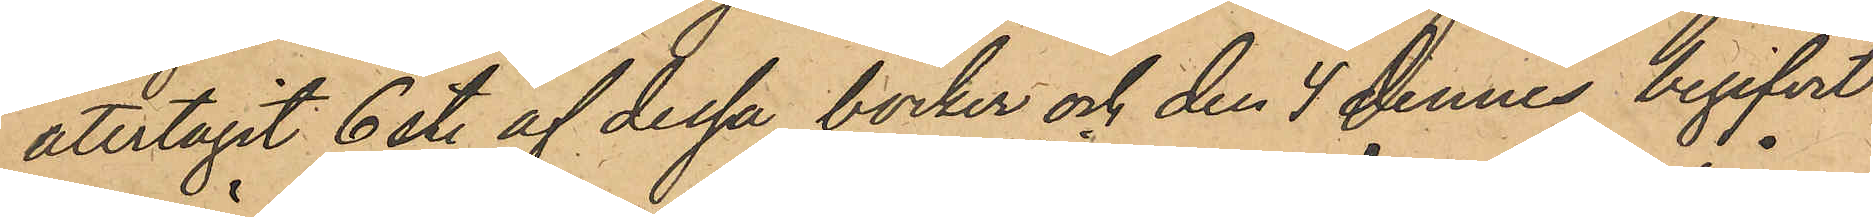återtagit 6 st. af dessa böcker och den 4 dennes begifvit
